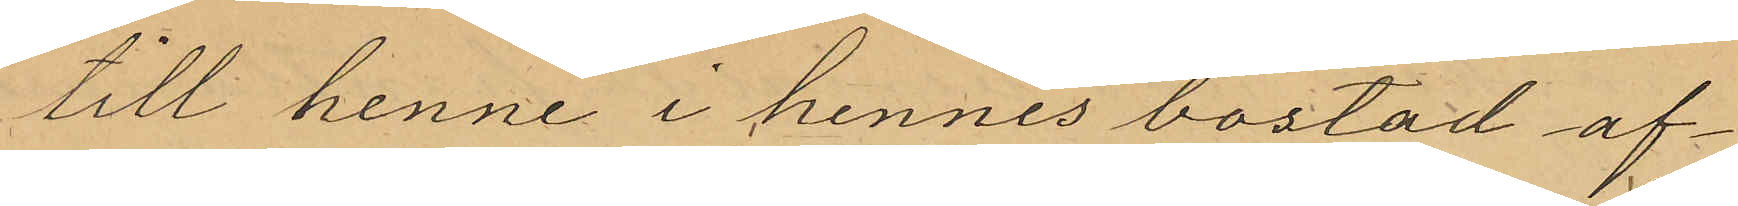till henne i hennes bostad af¬
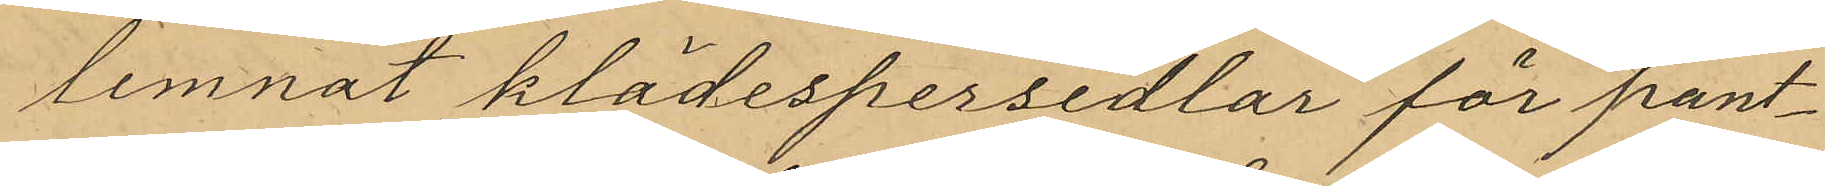lemnat klädespersedlar för pant¬
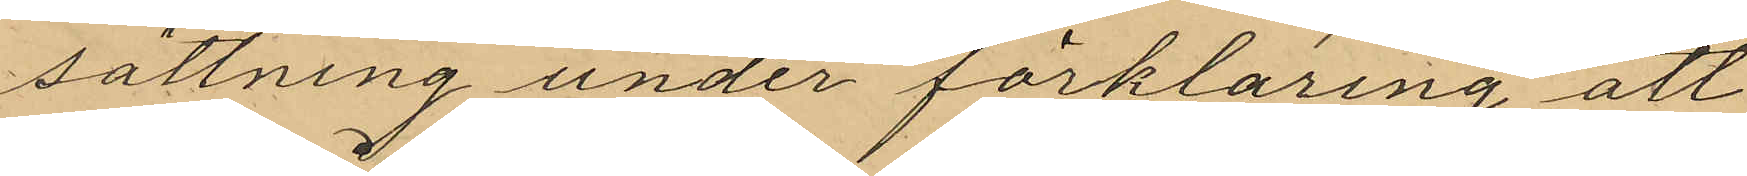sättning under förklaring att
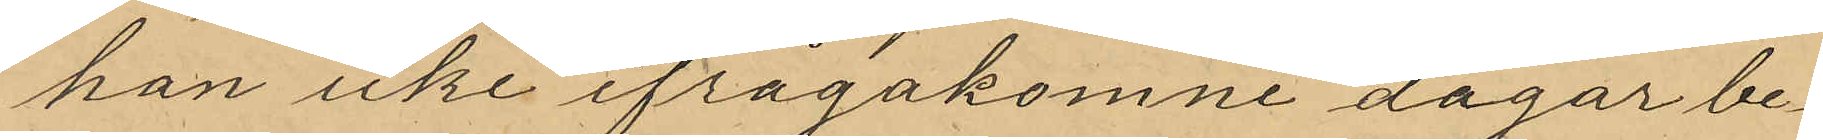han icke ifrågakomne dagar be¬
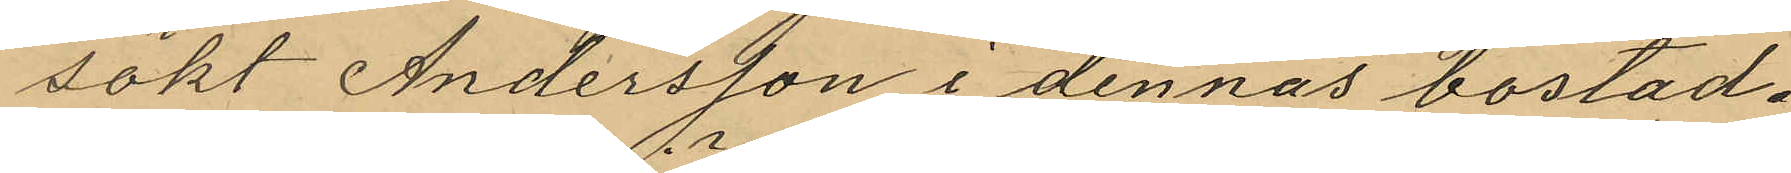sökt Andersson i dennas bostad.
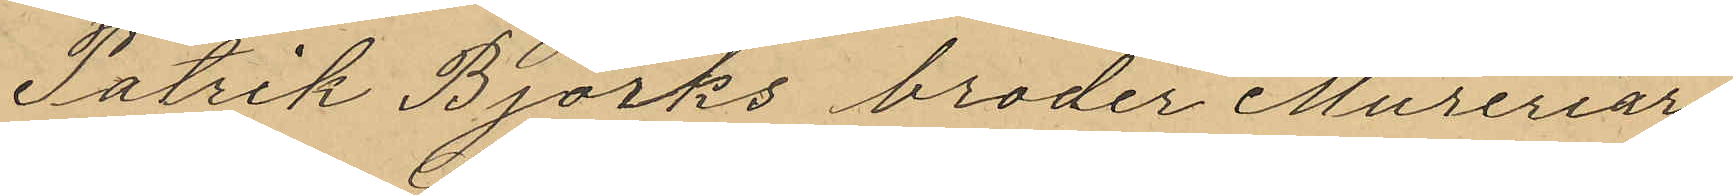Patrik Björks broder Mureriar¬
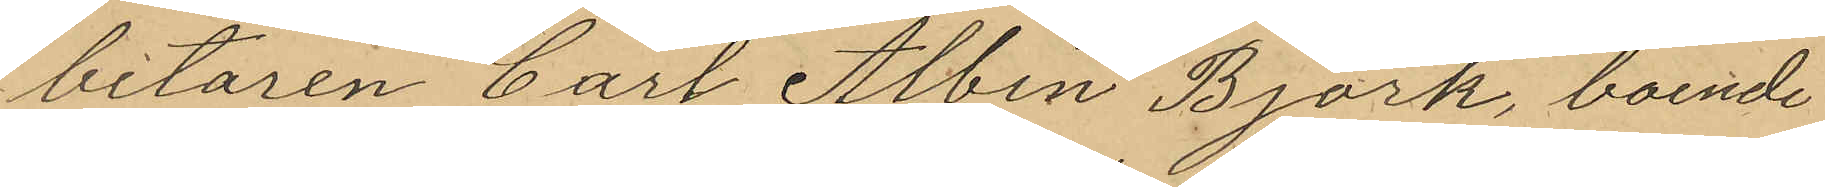betaren Carl Albin Björk, boende
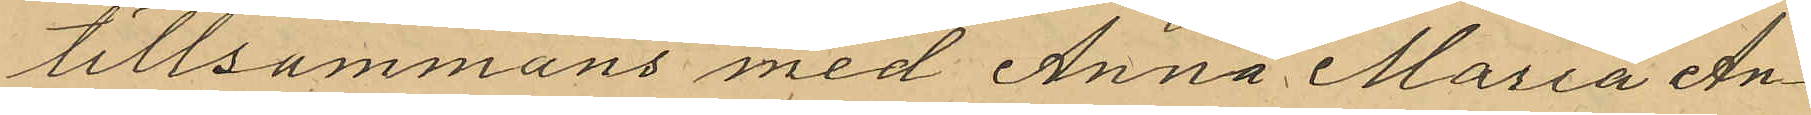tillsammans med Anna Maria An¬
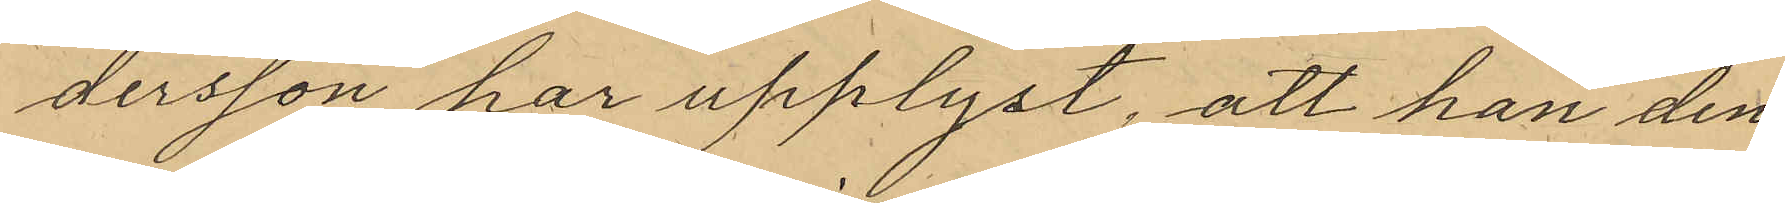dersson har upplyst, att han den
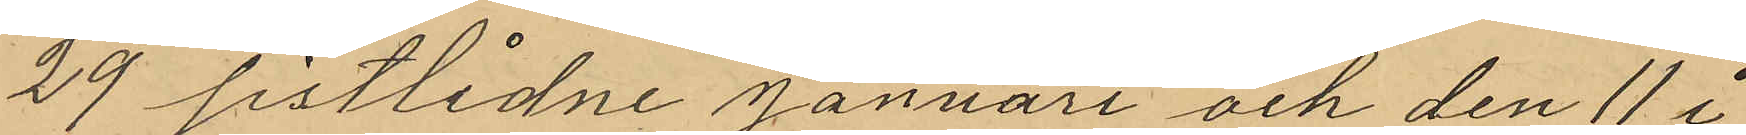29 sistlidne Januari och den 11 i
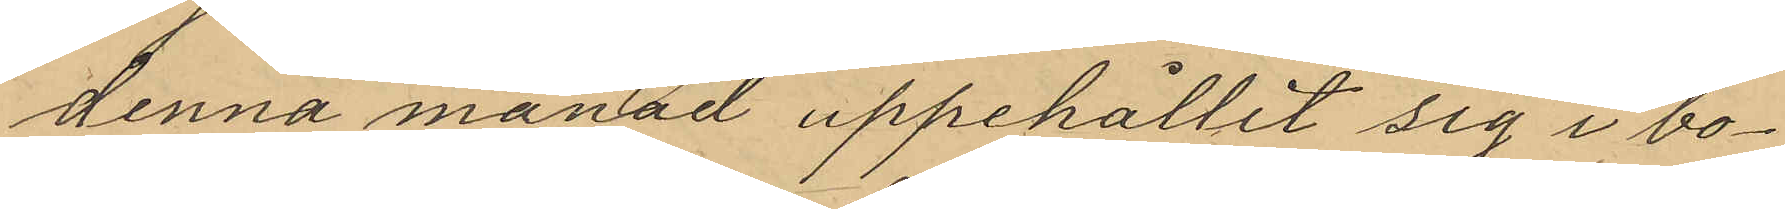denna månad uppehållit sig i bo¬
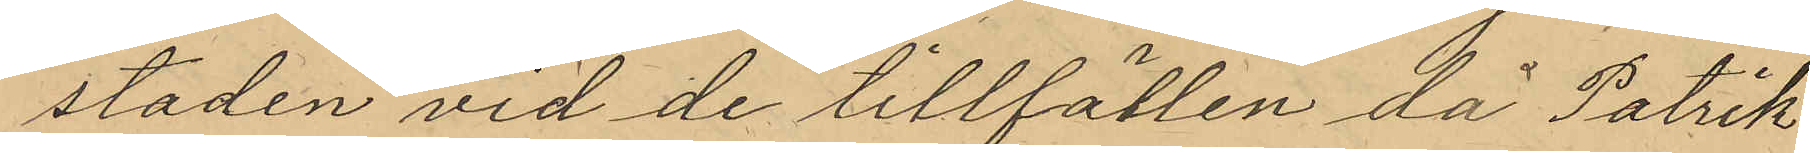staden vid de tillfällen då Patrik
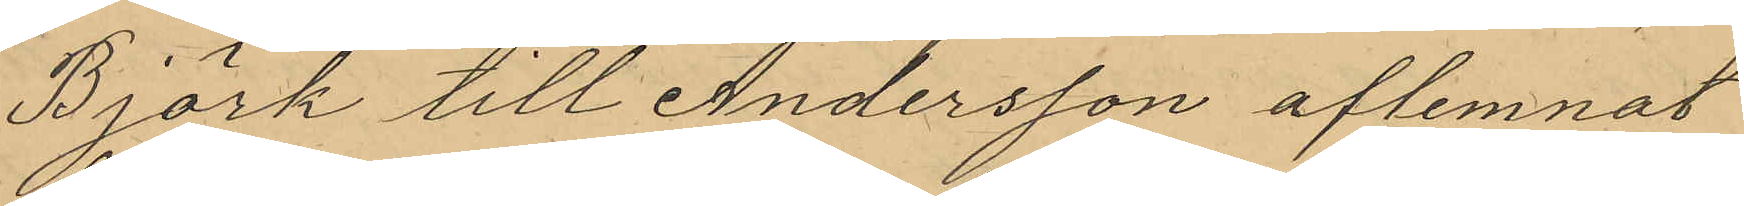Björk till Andersson aflemnat
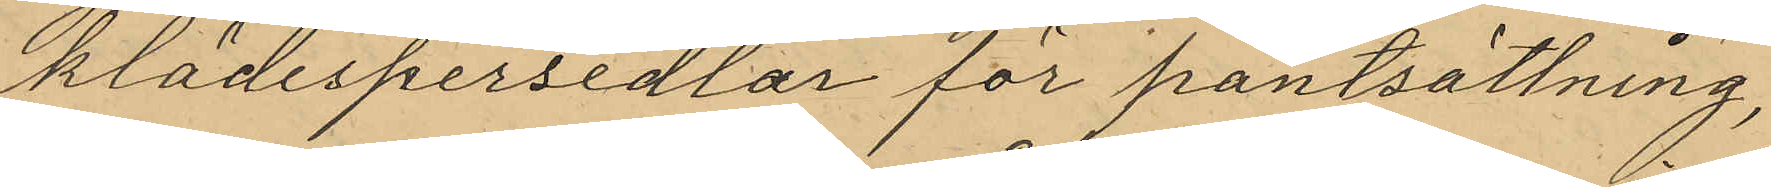klädespersedlar för pantsättning,
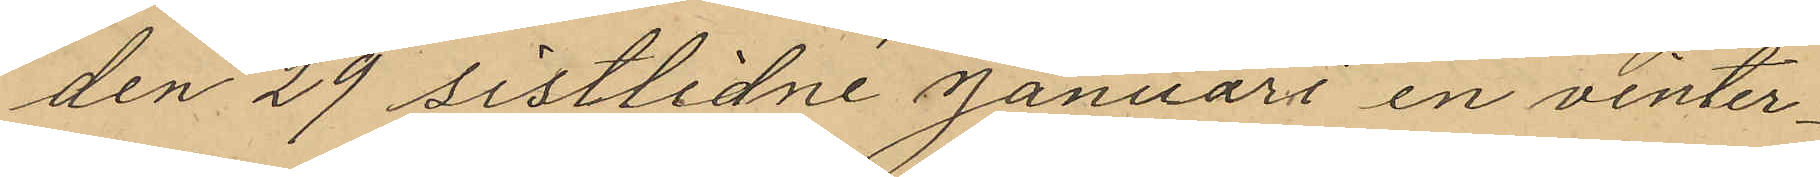den 29 sistlidne Januari en vinter¬
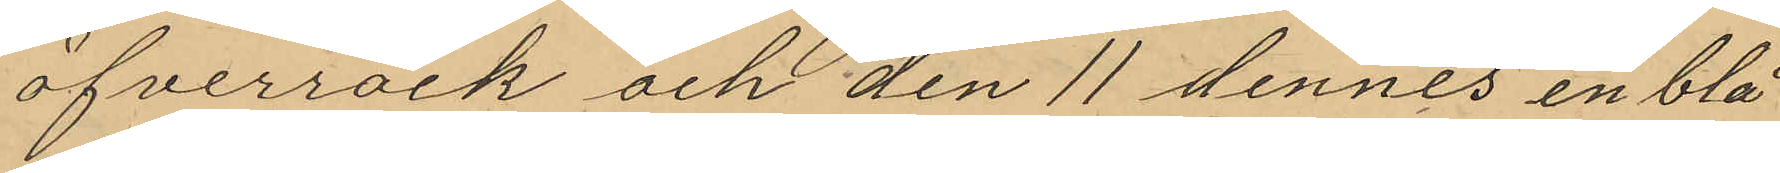öfverrock och den 11 dennes en blå
